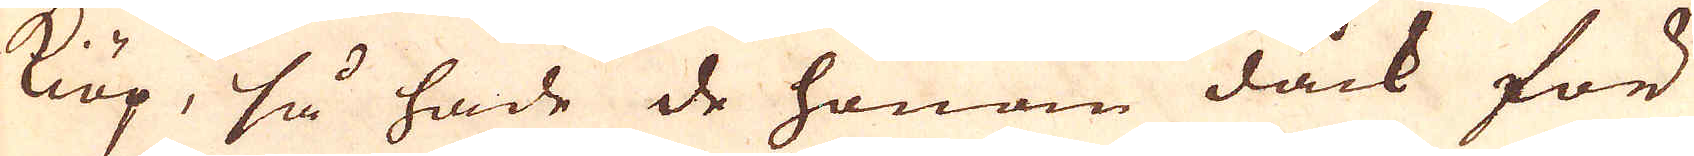kiöp, så hade de honom dock för
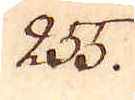255.
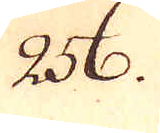256.
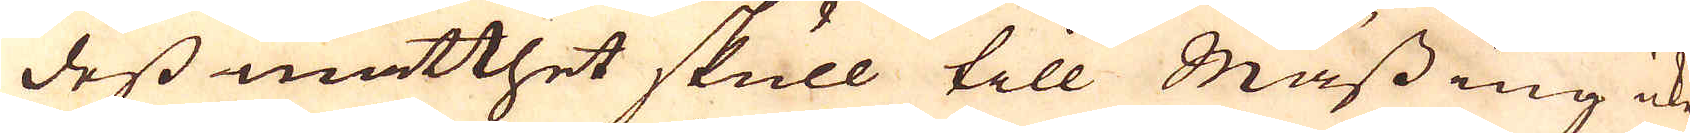dess matthet skull till Mässing icke
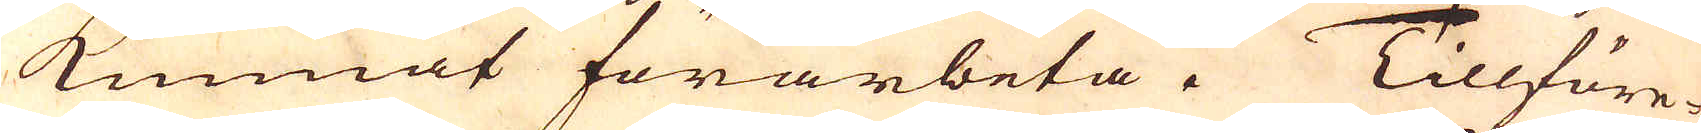kunnat förarbeta. Tillföre-
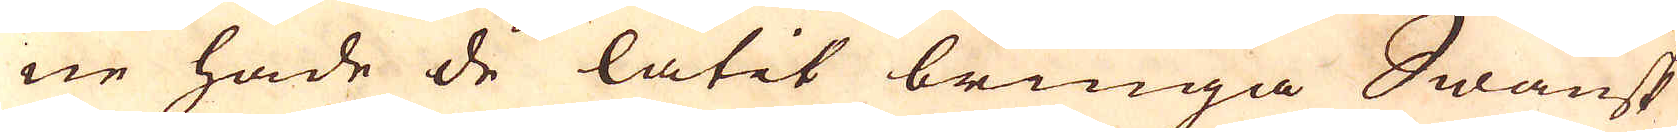ne hade de låtit bringa Swänsk
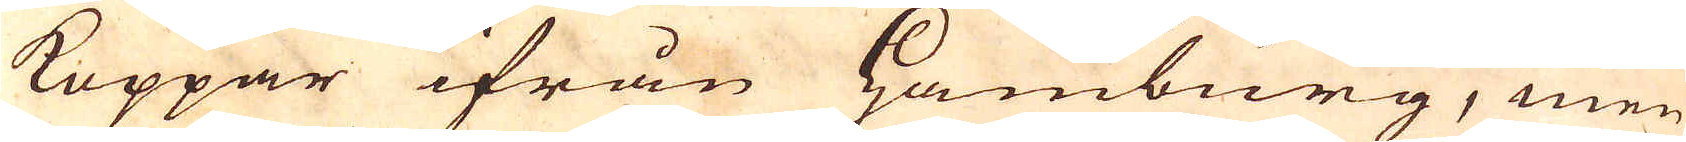Koppar ifrån Hamburg, men
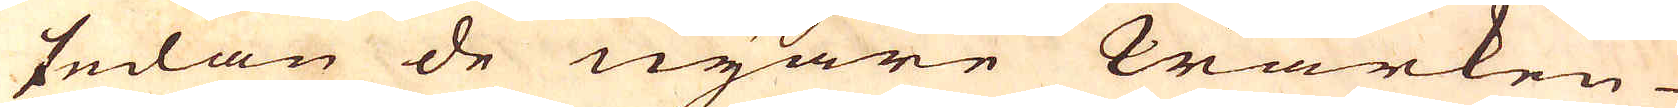sedan de nyare Wärken
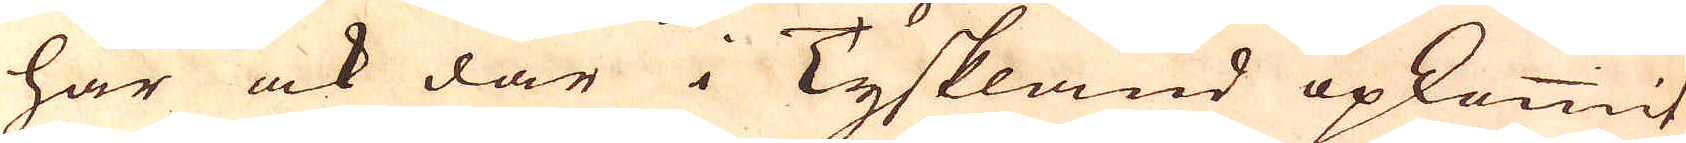här ock där i Tyskland opkommit
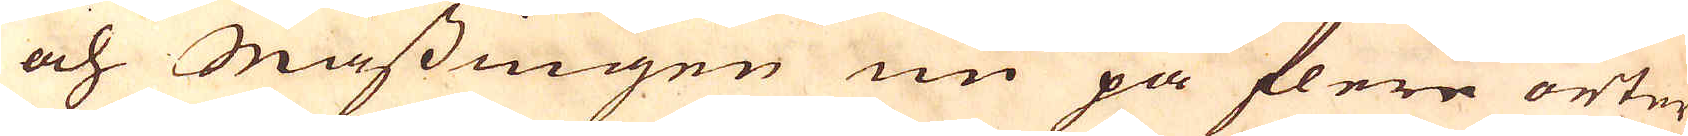och Mässingen nu på flere orter
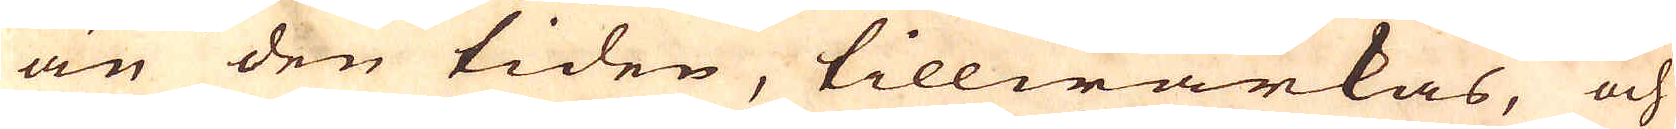än den tiden, tillwärkas, och
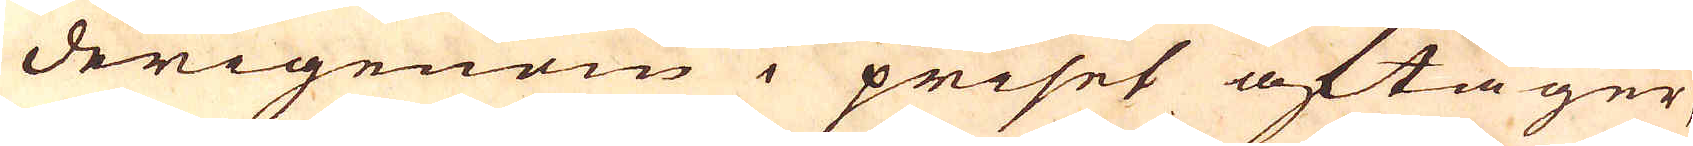derigenom i priset aftager,
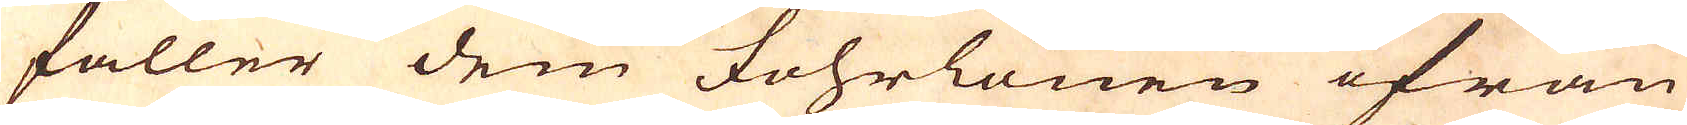faller dem Fohrlönen ifrån
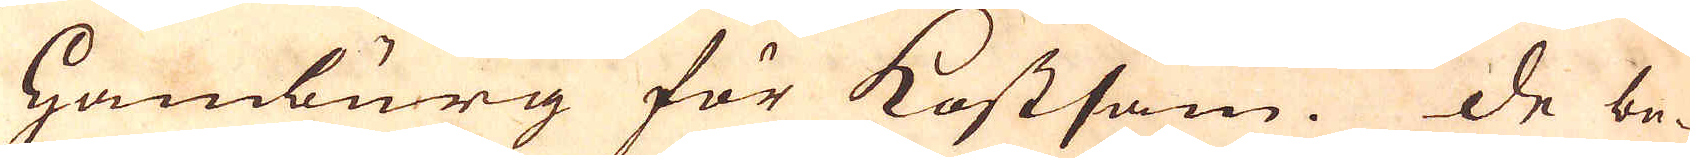Hamburg för kostsam. De be-
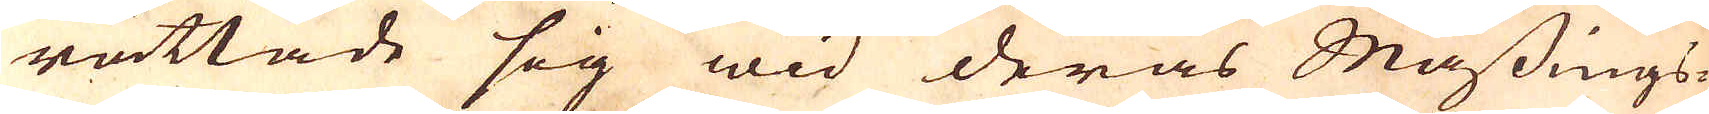rättade sig wid deras Mässings-
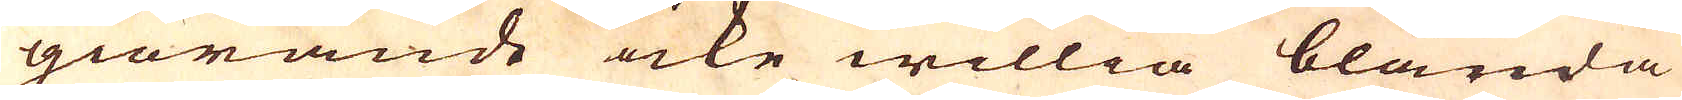giörande icke willia blanda
